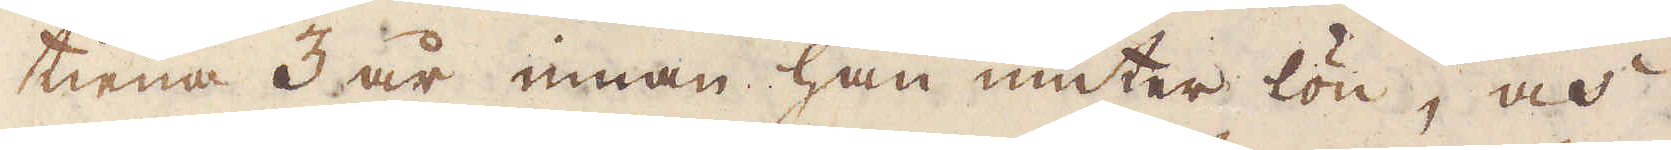tiena 3 år innan han niuter lön, och
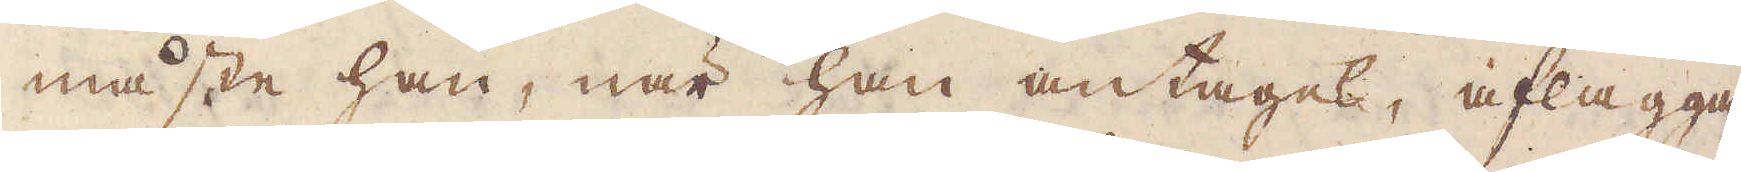måste han, när han antages, aflägga
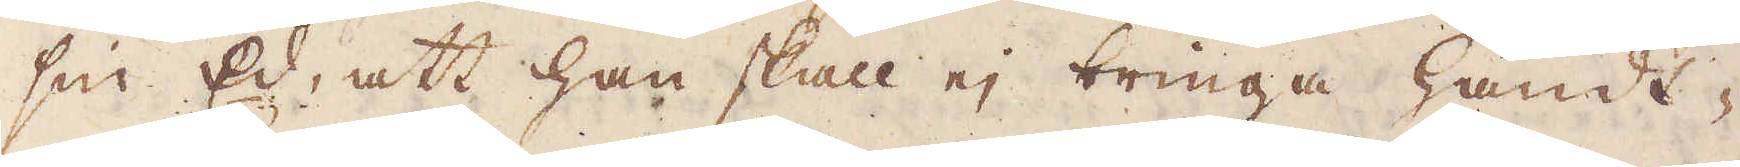sin Ed, att han skall ej bringa handt-
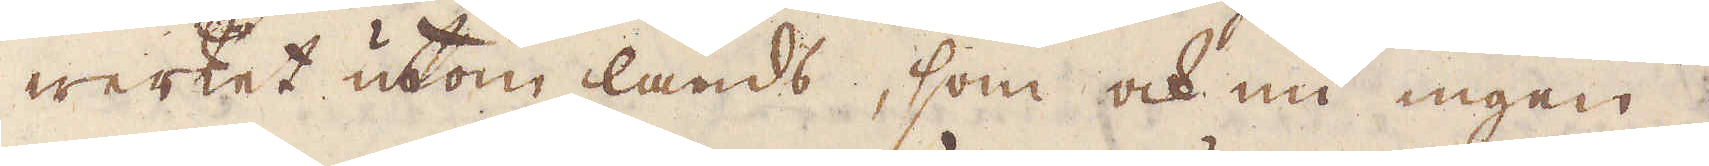werket utom lands, som ock nu ingen
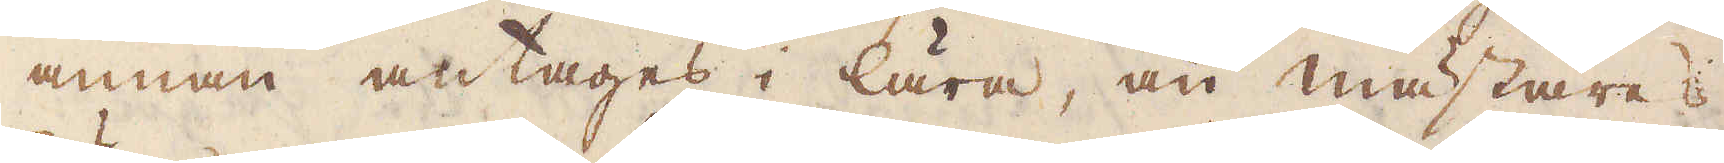annan antages i lära, än mästare
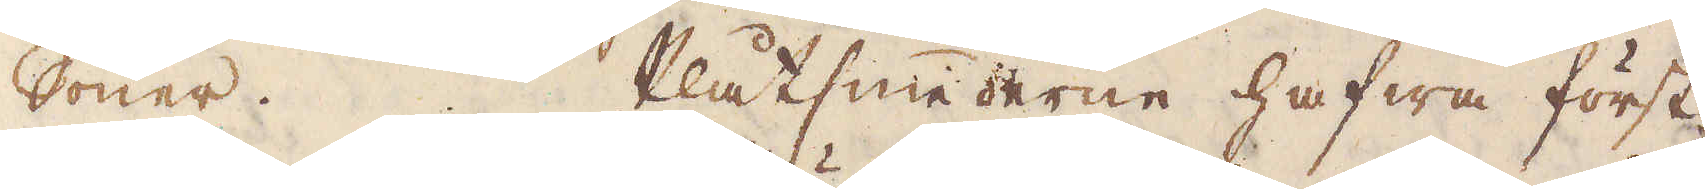Söner. Plåtsmederne hafwa först
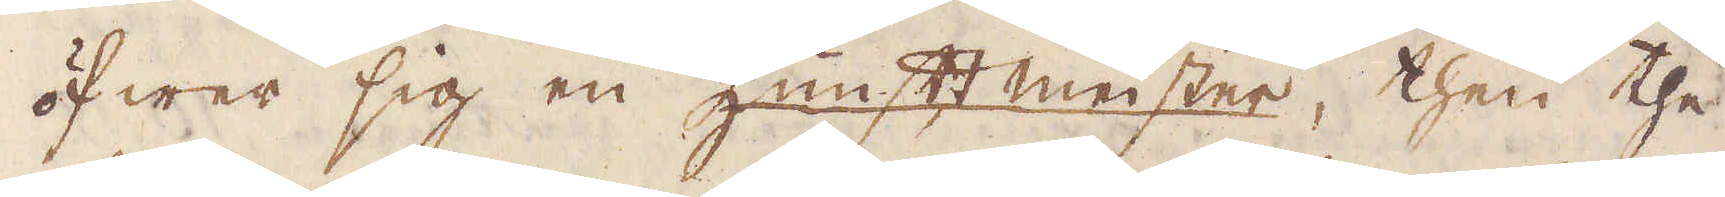öfwer sig en kunstt meister, then the
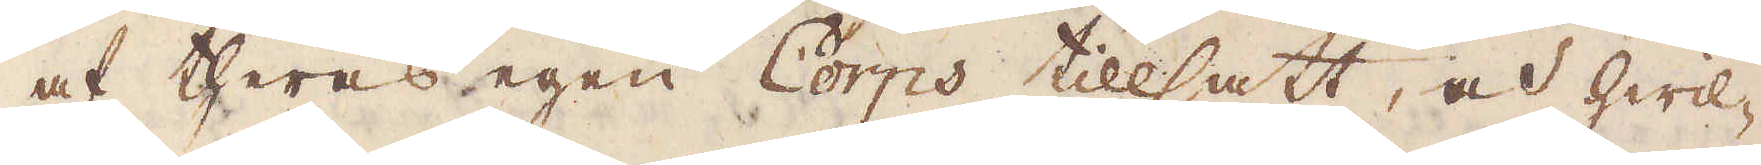af theras egen Corps tillsatt, och hwil-
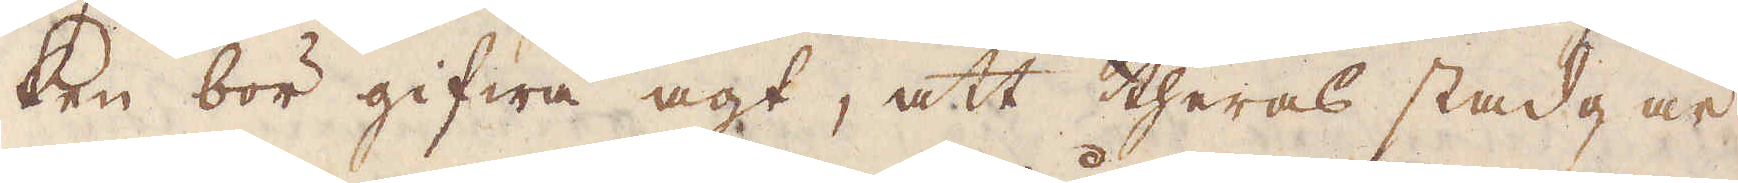ken bör gifwa agt, att theras stadgar
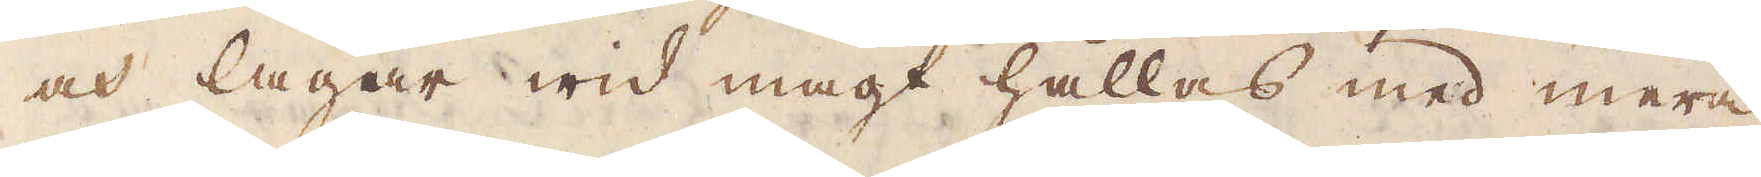och lagar wid magt hållas med mera,
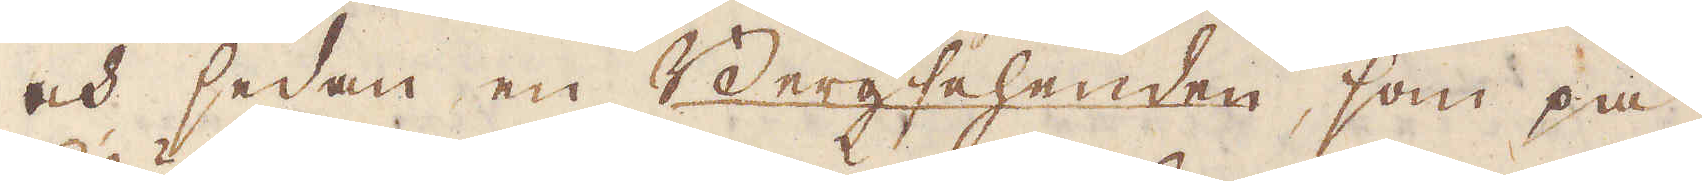och sedan en Bergsehenden, som på
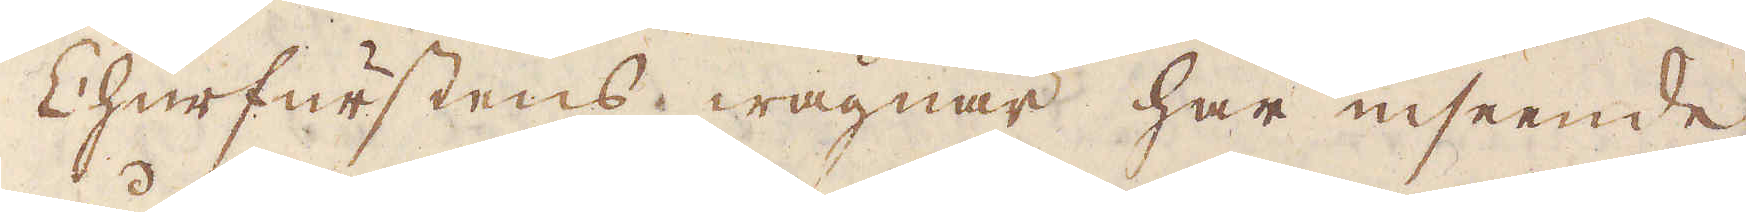Cherfurstens wägnar har inseende
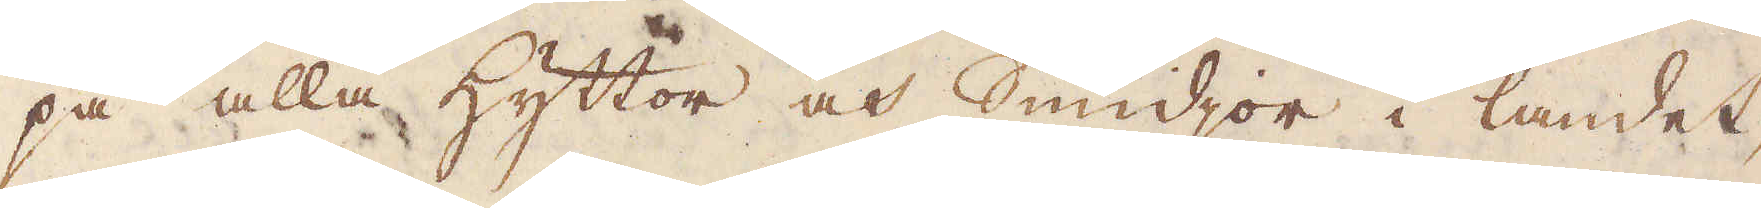på alla hyttor och Smidjor i landet,
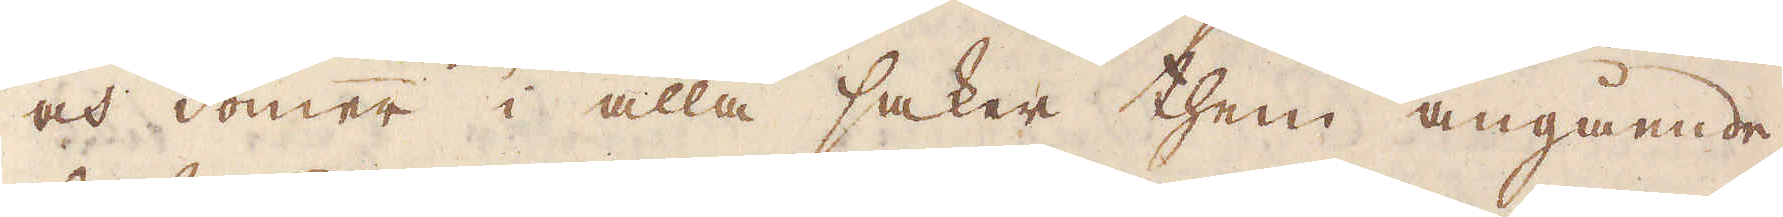och dömer i alla saker them angående,
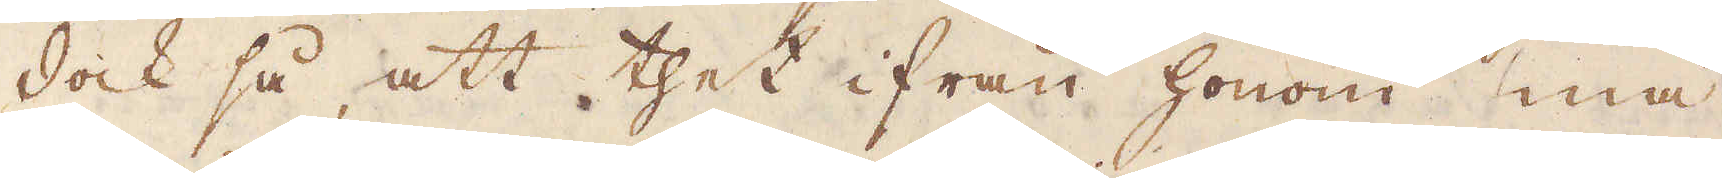dock så, att thet ifrån honom må
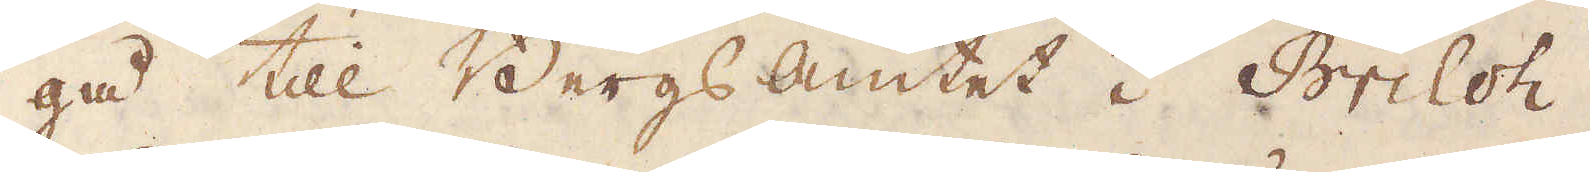gå till Bergsamtet i Briloh.
